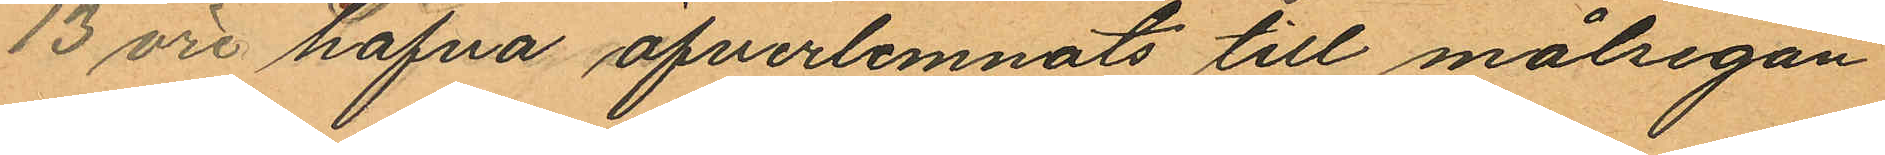13 öre hafva öfverlemnats till målsegan
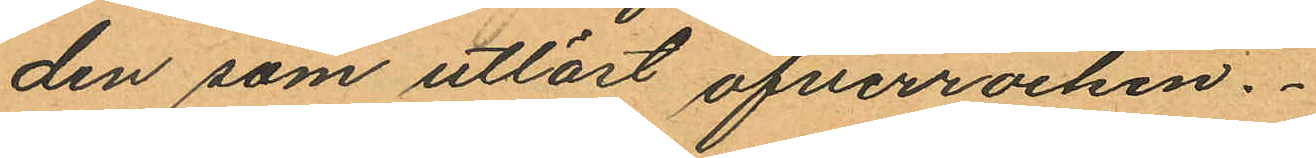den som utlöst öfverrocken.
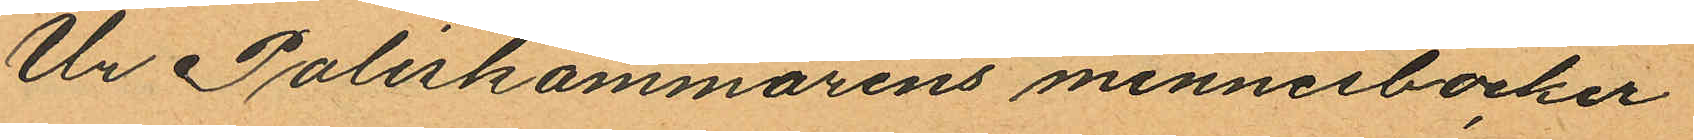Ur Poliskammarens minnesböcker
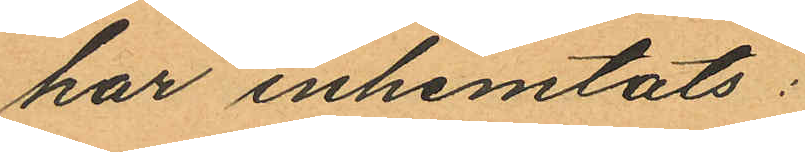har inhemtats:
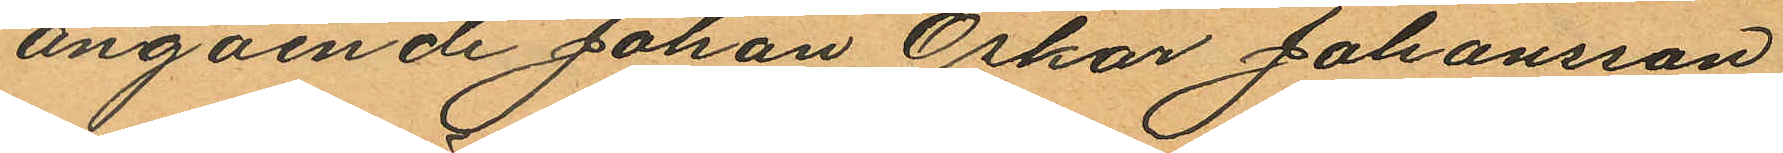angående Johan Oskar Johansson
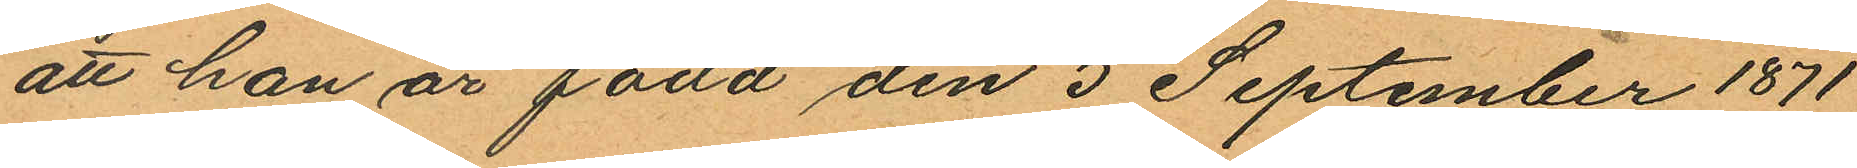att han är född den 5 September 1871
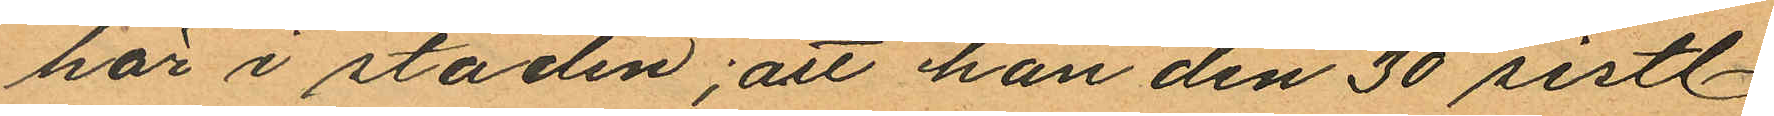här i staden; att han den 30 sistl
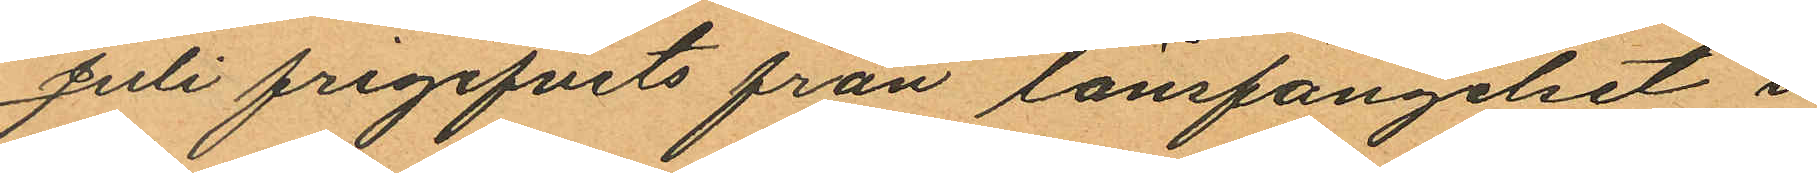Juli frigifvits från länsfängelset i
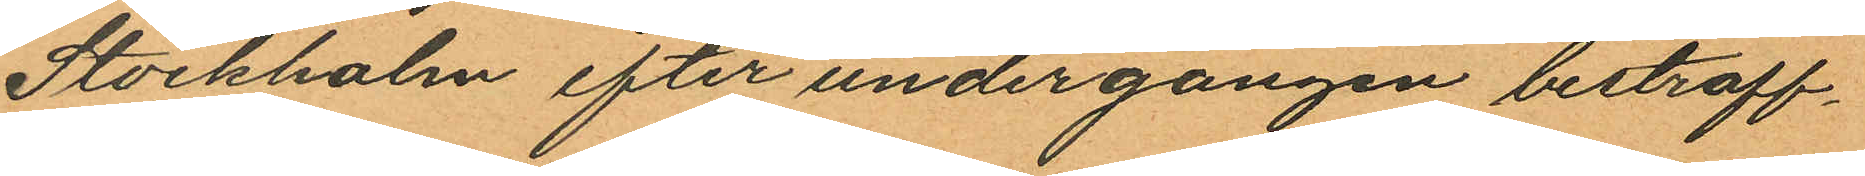Stockholm efter undergången bestraff¬
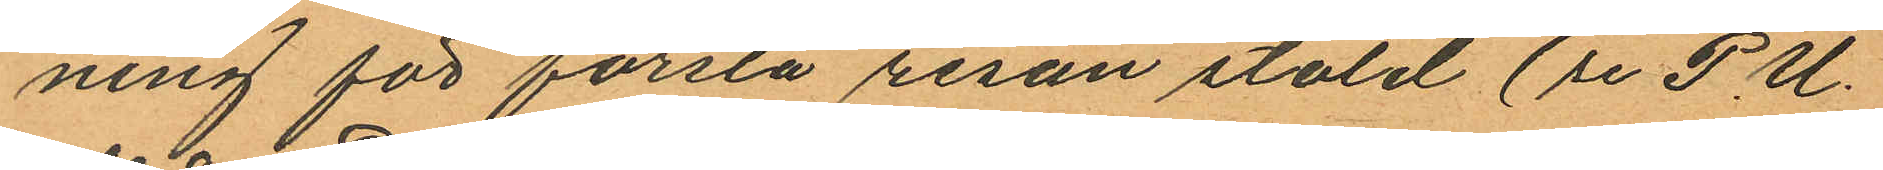ning för första resan stöld (se P. U.
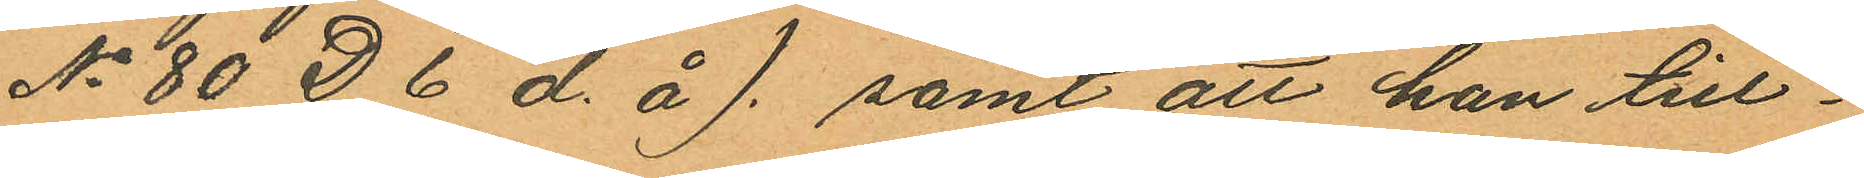No 80 D 6 d. å). samt att han till¬
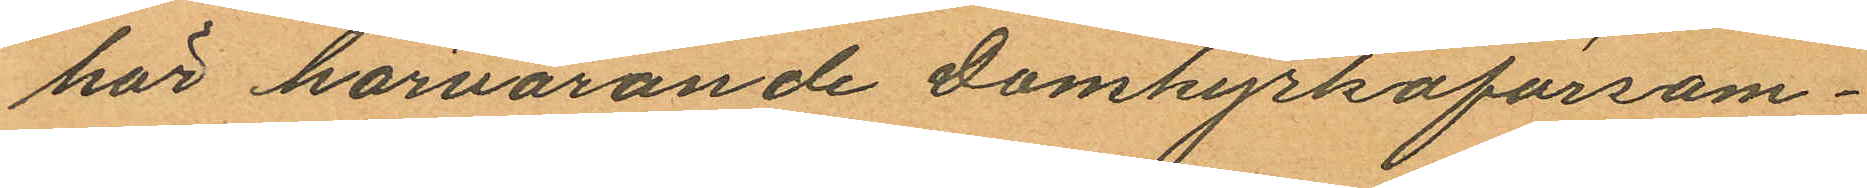hör härvarande Domkyrkoförsam¬
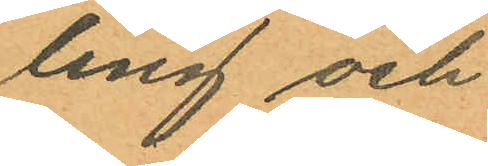ling och
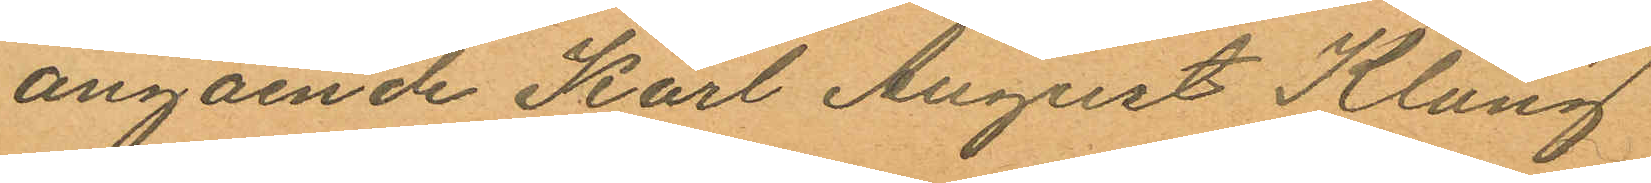angående Karl August Klang
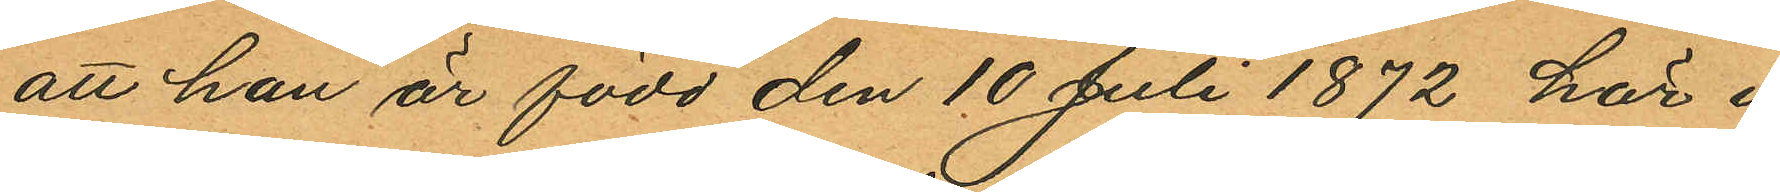att han är född den 10 Juli 1872 här i
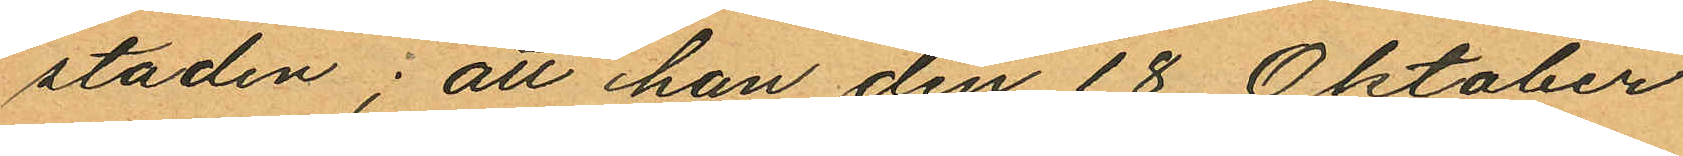staden; att han den 18 Oktober
